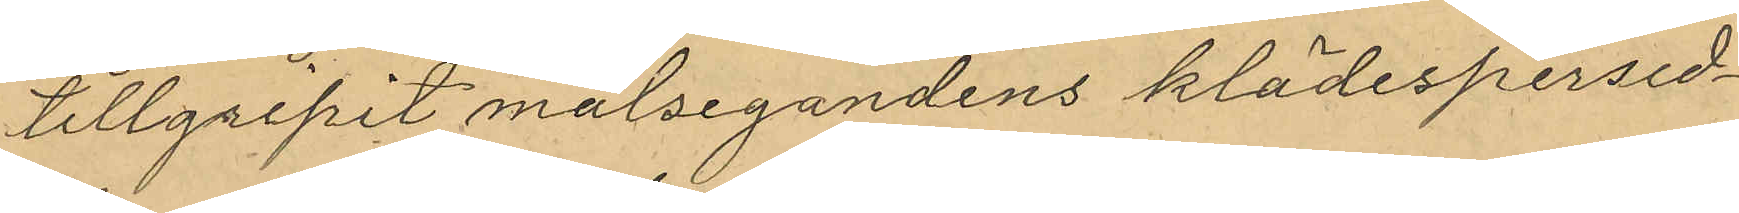tillgripit målsegandens klädespersed¬
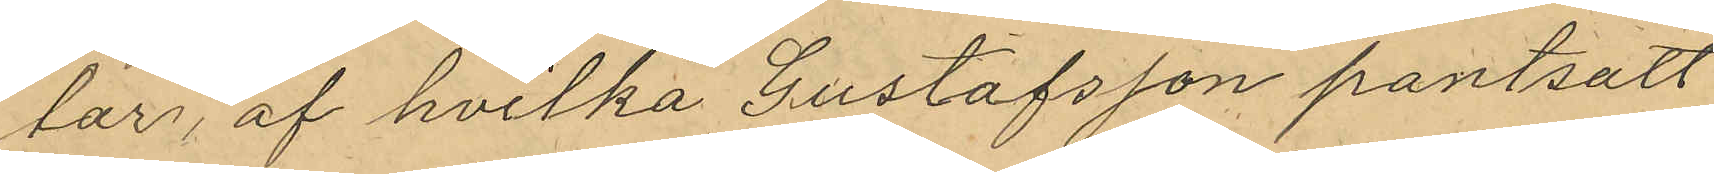lar, af hvilka Gustafsson pantsatt
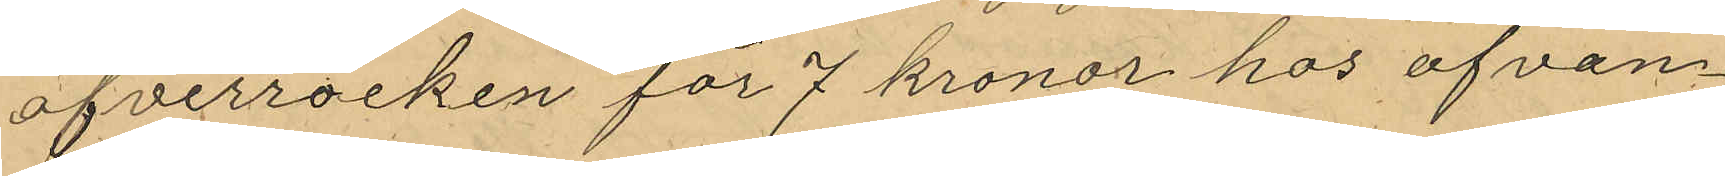öfverrocken för 7 kronor hos ofvan¬
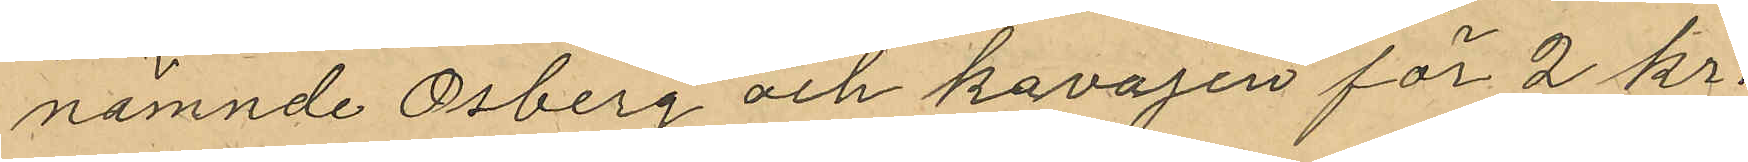nämnde Osberg och kavajen för 2 kr.
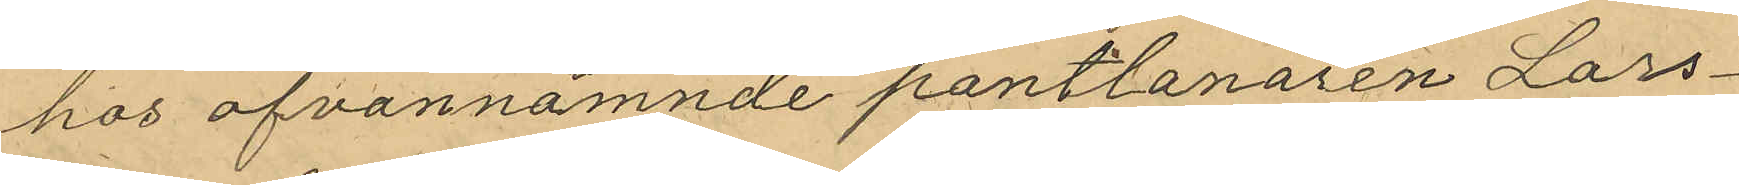hos ofvannämnde pantlanaren Lars¬
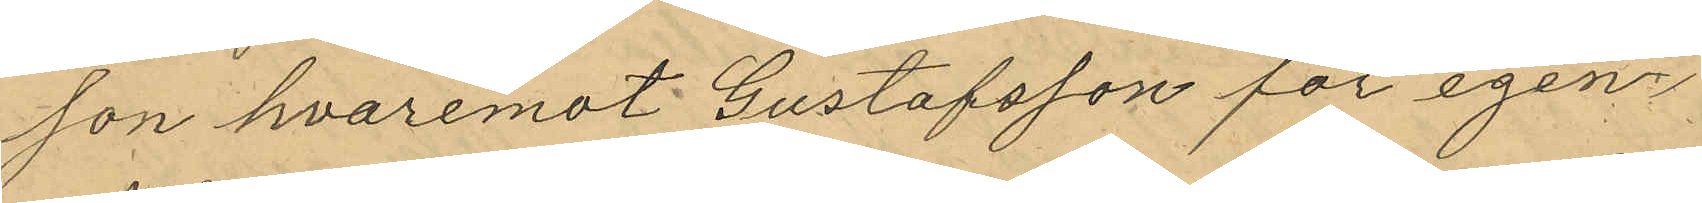son hvaremot Gustafsson för egen
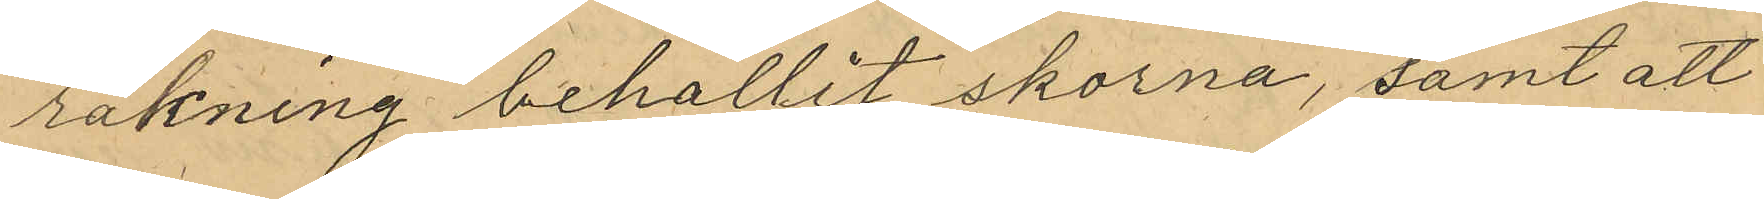räkning behållit skorna, samt att
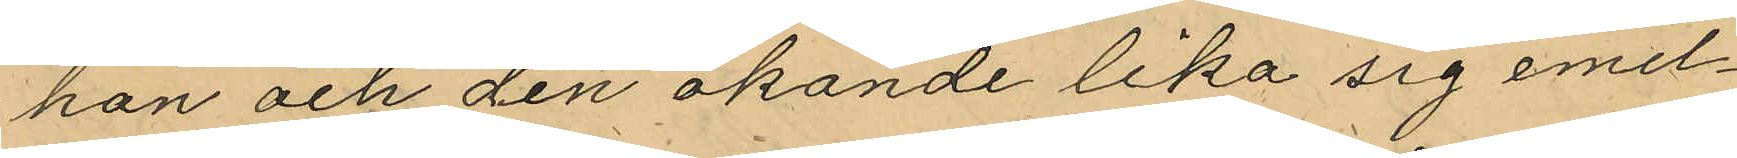han och den okände lika sig emel¬
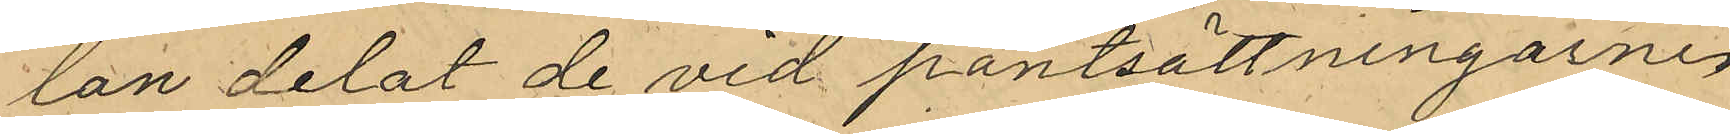lan delat de vid pantsättningarne
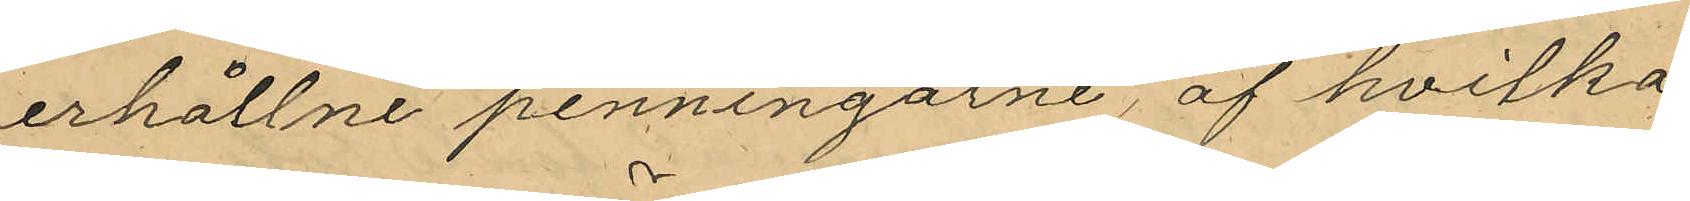erhållne penningarne, af hvilka
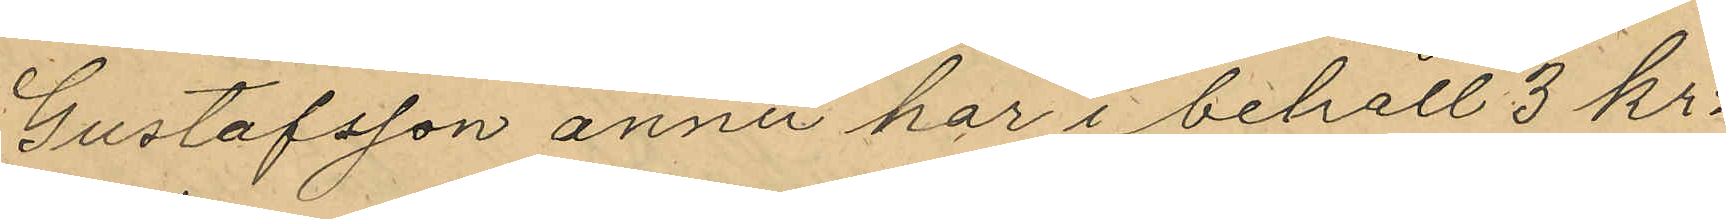Gustafsson ännu har i behåll 3 kr:
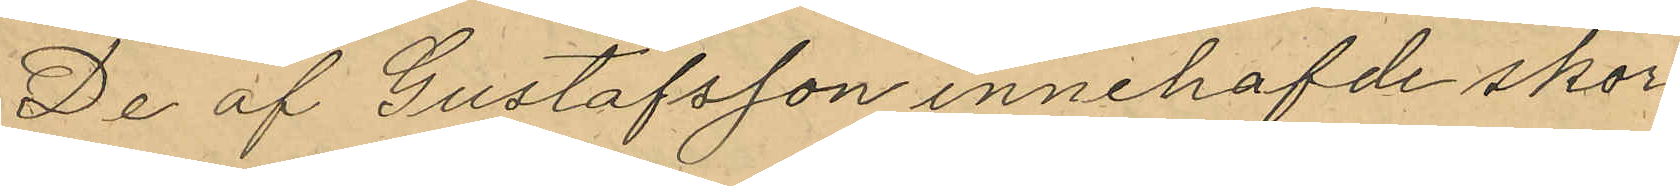De af Gustafsson innehafvde skor¬
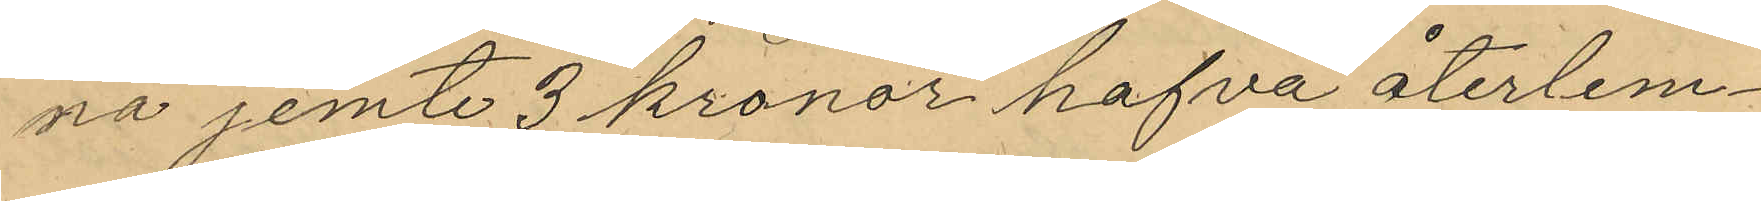na jemte 3 kronor hafva återlem¬
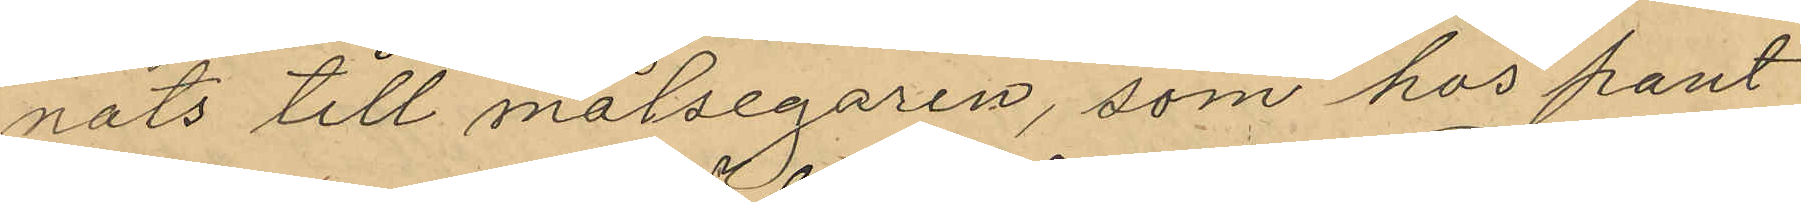nats till målsegaren, som hos pant¬
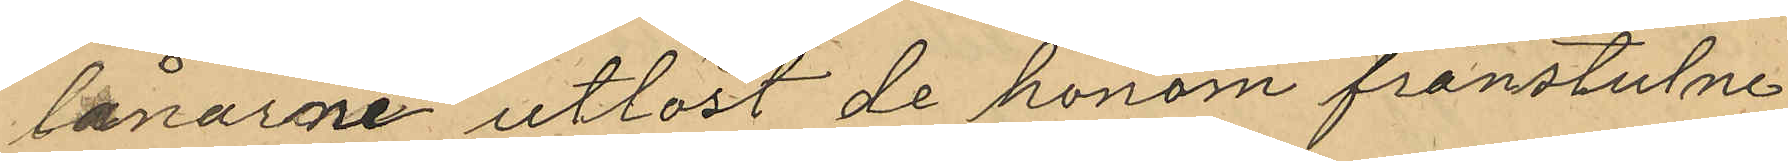lånarne utlöst de honom frånstulne
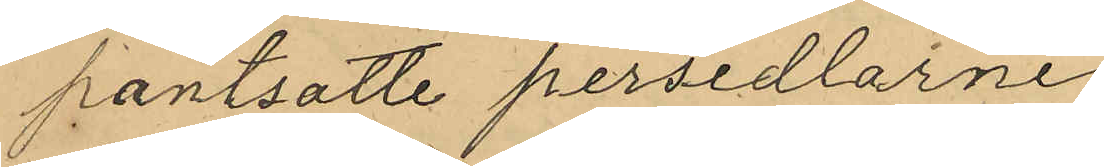pantsatte persedlarne
